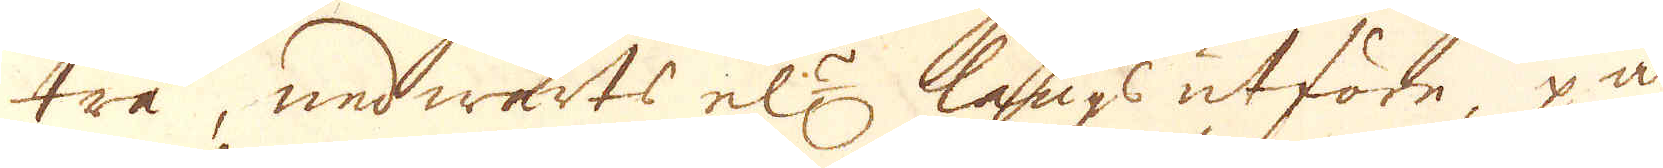trä, nedwärts el:r längsutföre, på
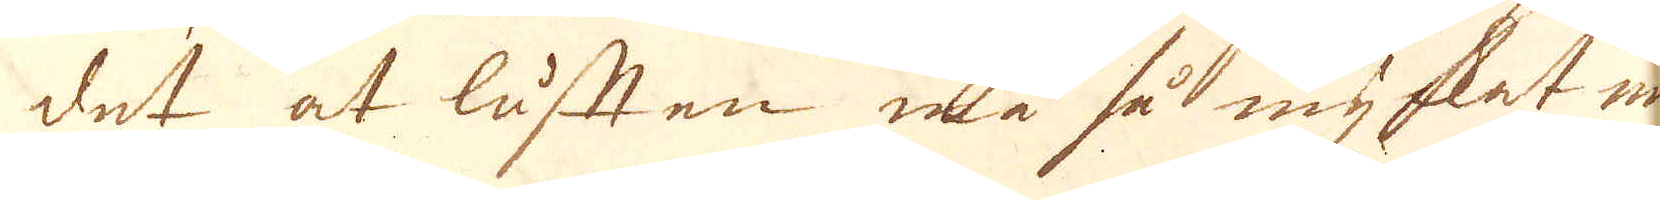det at lusten må så mycket me-
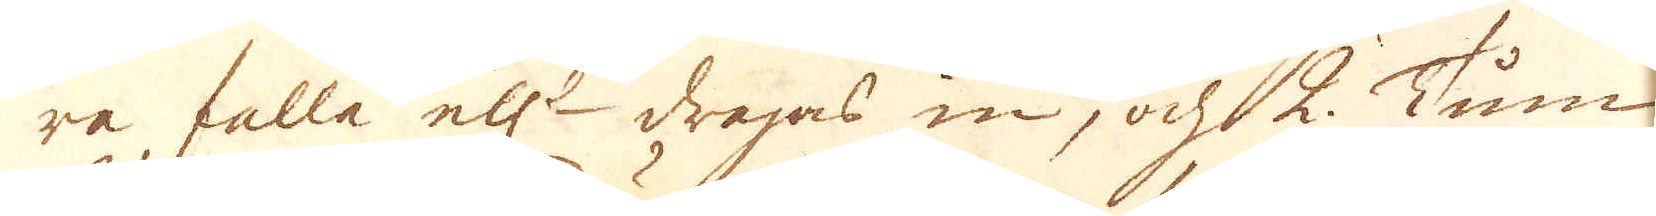ra falla el:r dragas in, och 2. Tum
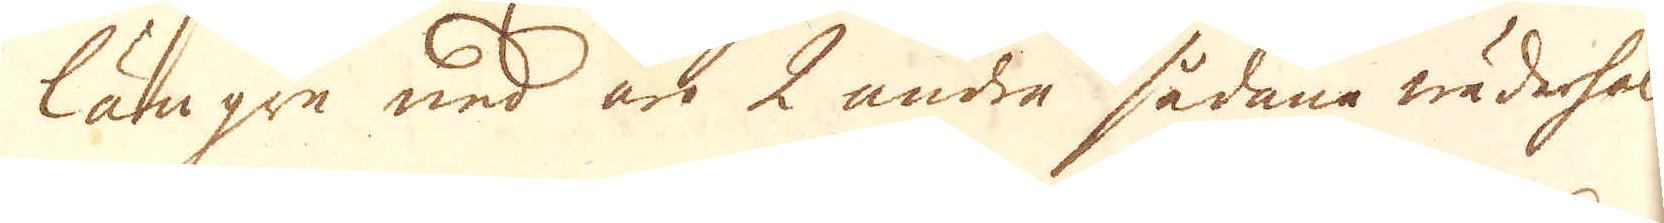längre ned äro 2 andra sådane wäderhål.
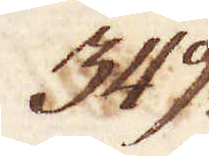349.
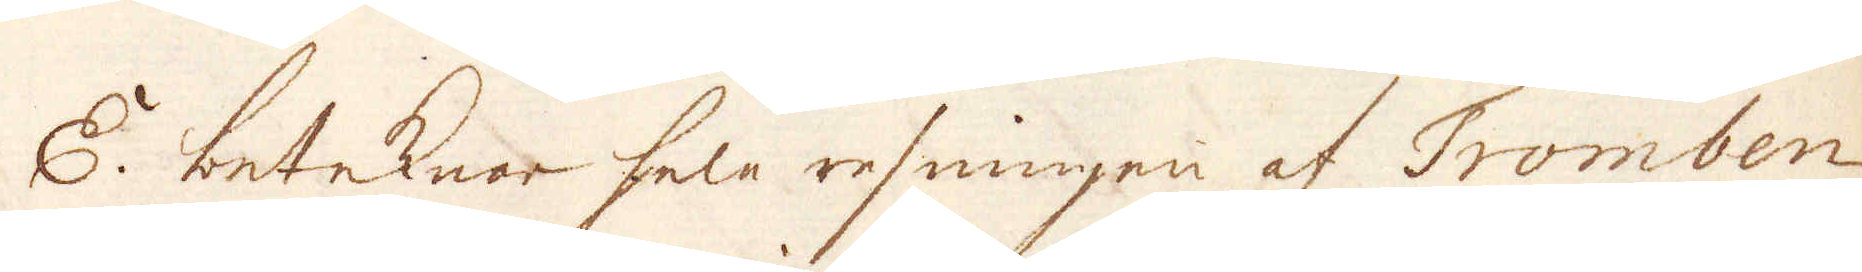E. betecknar hela resningen af Tromben
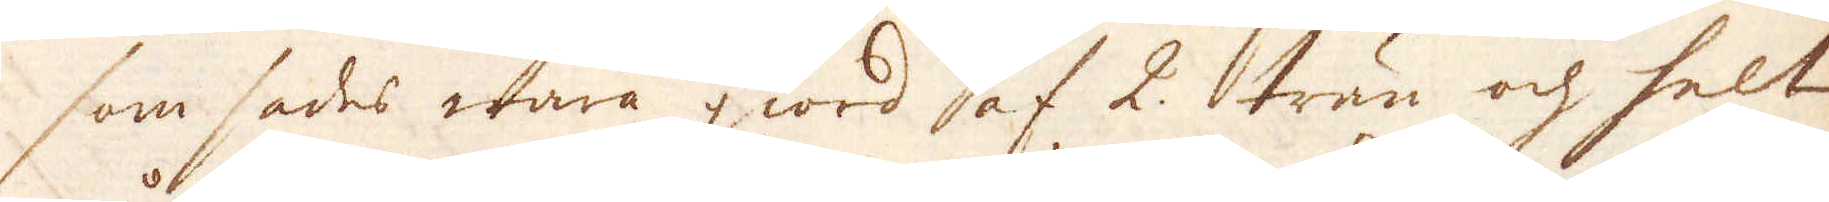som sades wara giword af 2. trän och helt
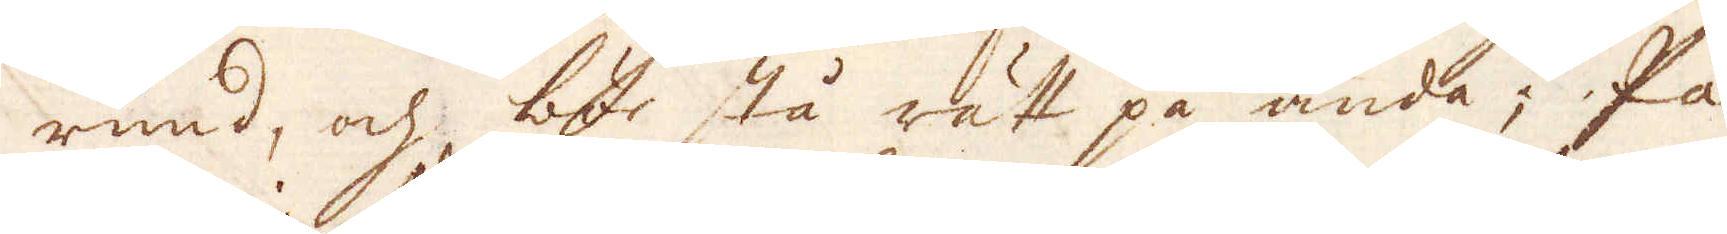rund, och bör stå rätt på ända; På
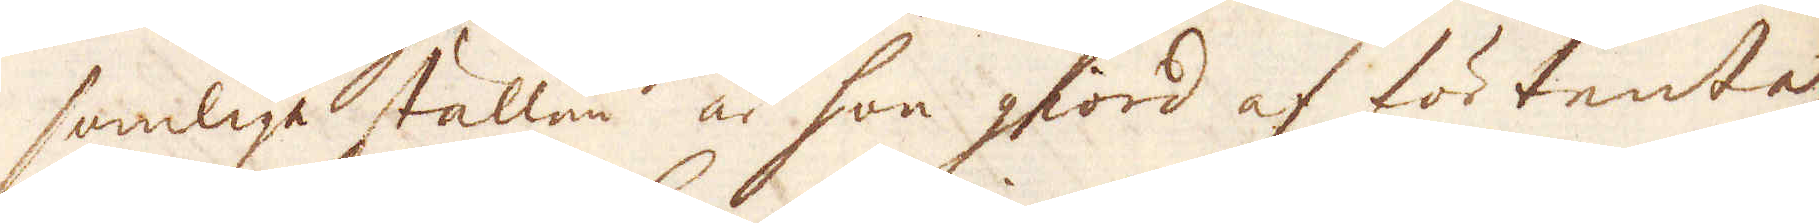somlige ställen än hon giord af förtente
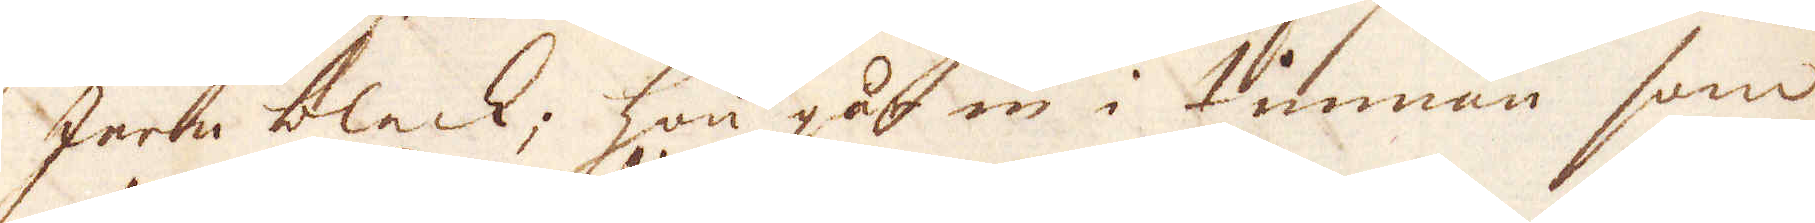jern bleck; hon går in i tunnan som
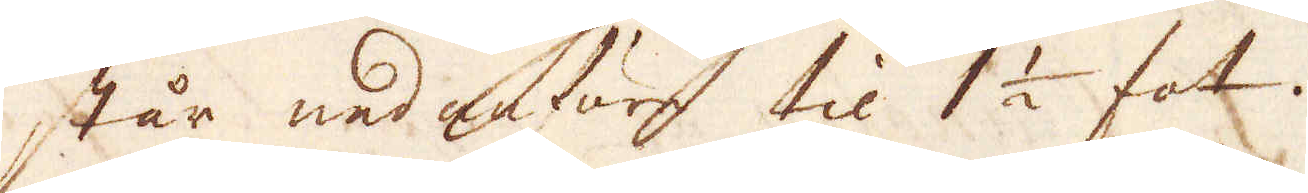står nedanföre til 1 1/2 fot.
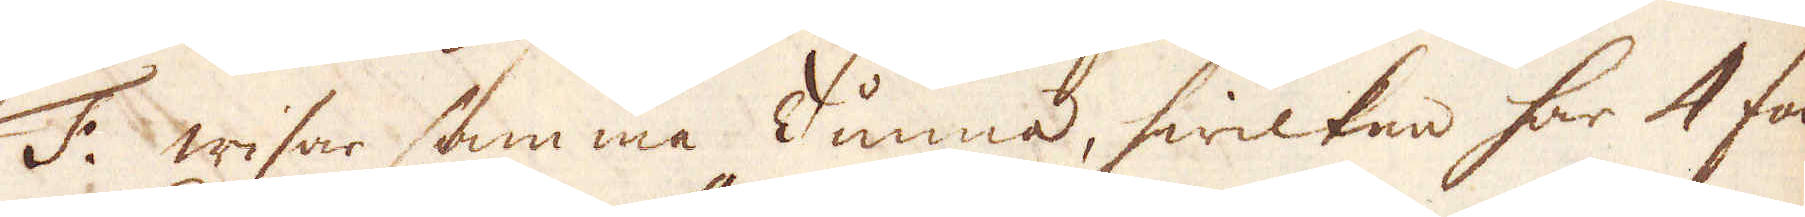F: wisar samma Tunna, hwilken har 4 fot
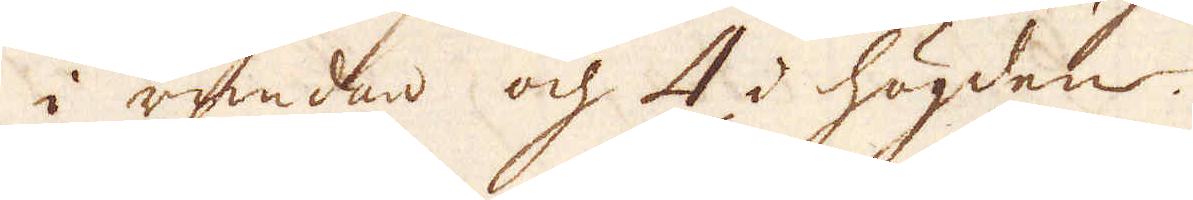i rundan och 4 d högden.
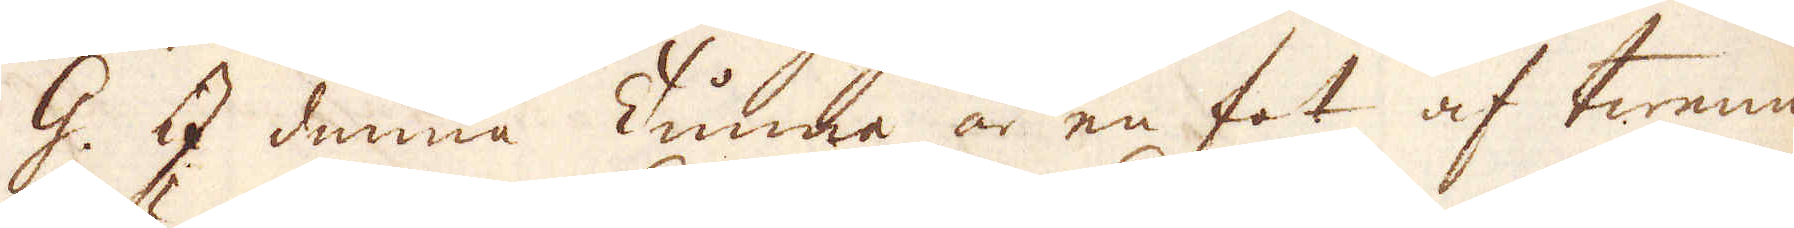G. I denna Tunna är en fot af twenne
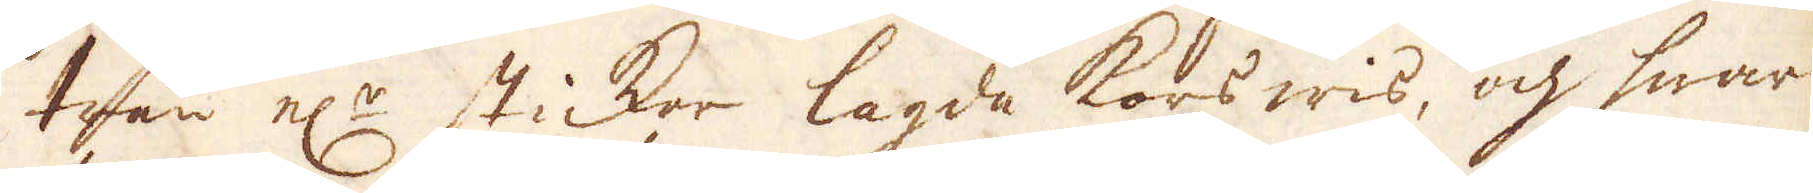trän el:r sticker lagda korswis, och hwar-
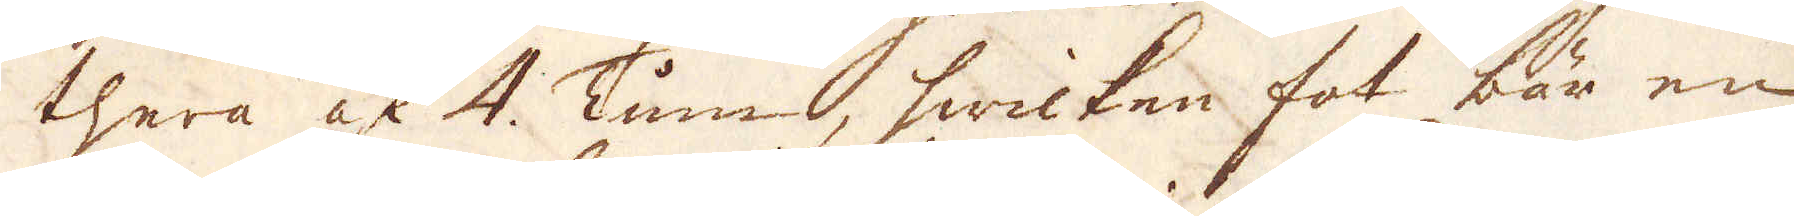thera af 4. Tum, hwicken fot bär en
